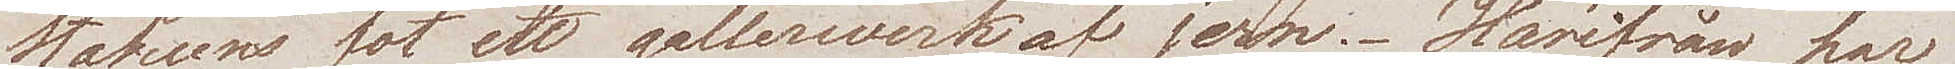Statuens fot ett gallerwerk af jern. Härifrån har
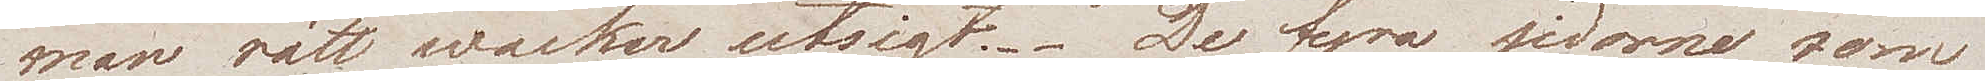man rätt wacker utsigt. De fyra sidorna som
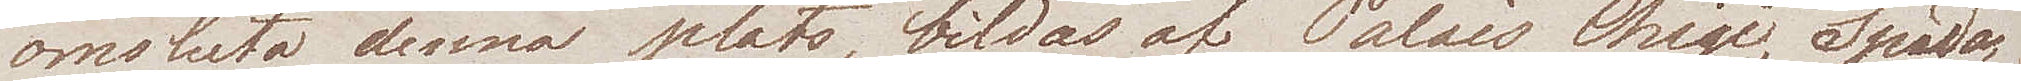omsluta denna plats, bildas av Palais Chigi, Spada,
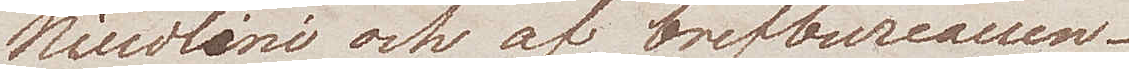Nicolini och af brefbureaun.
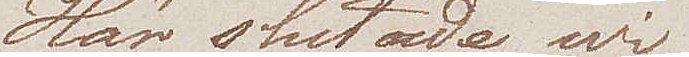Här slutade wi
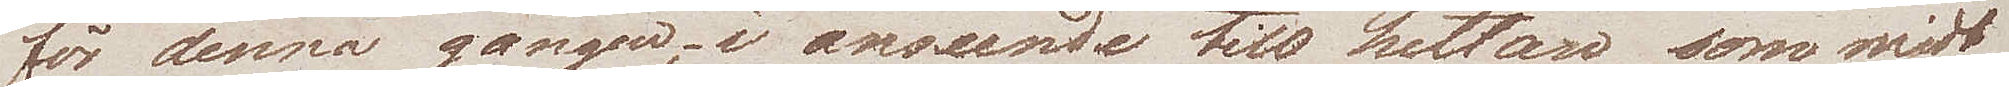för denna gången, i anseende till hettan som midt
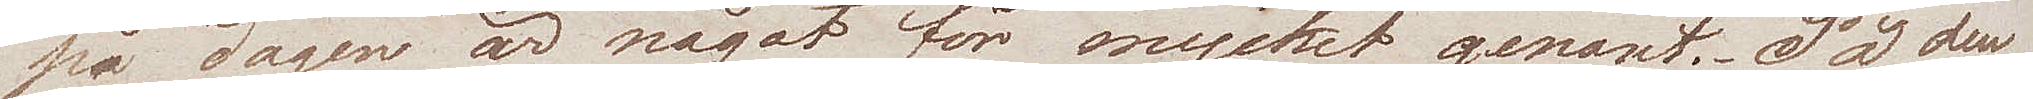på dagen är något för mycket genant. På den
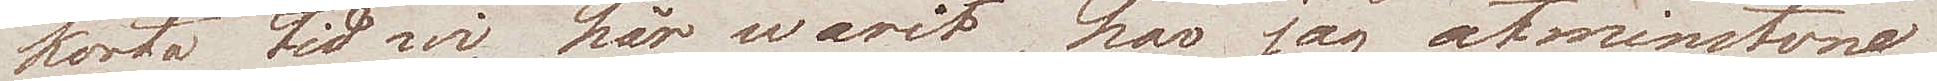korta tid wi här warit, har jag åtminstone
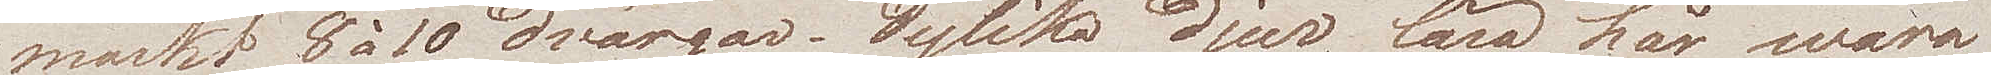märkt 8 à 10 dvärgar. Dylika djur lära här wara
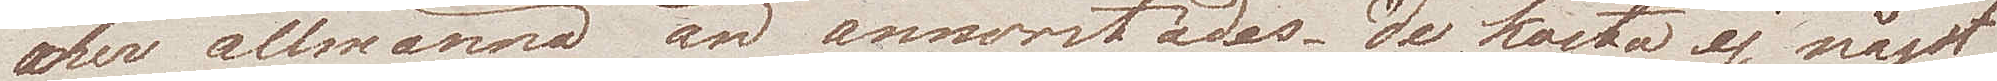mer allmänna än annorstädes. De kosta ej något
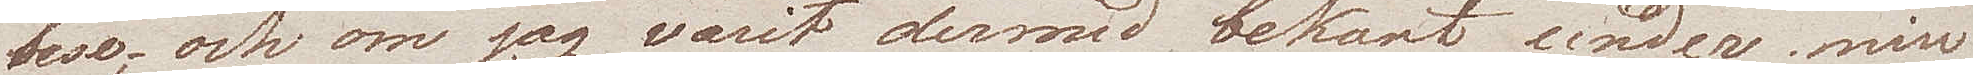bese; och om jag varit dermed bekant under min
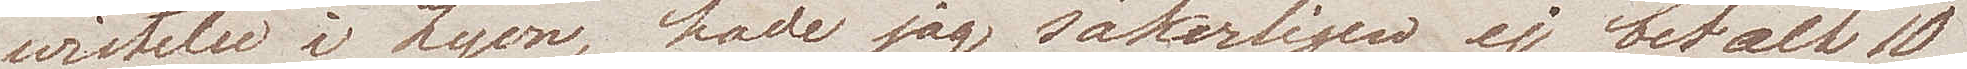wistelse i Lyon, hade jag säkerligen ej betalt 10
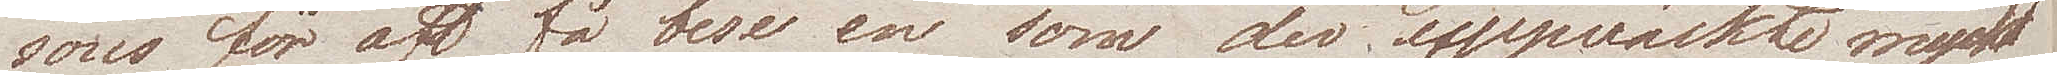sous för att få bese en som der uppväckte mycket
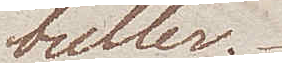buller.
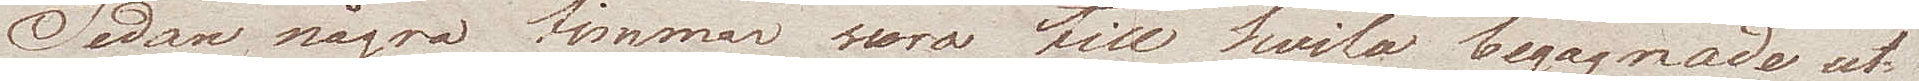Sedan några timmar woro till hvila begagnade ut¬
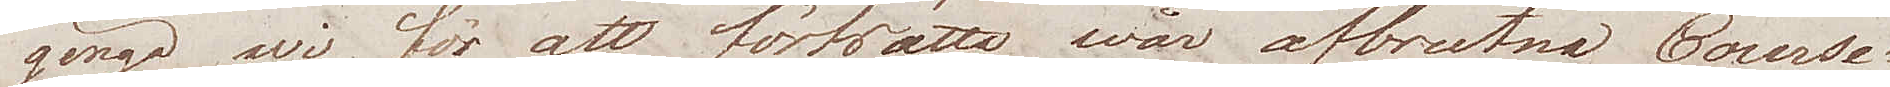gingo wi för att fortsätta wår afbrutne Course.
